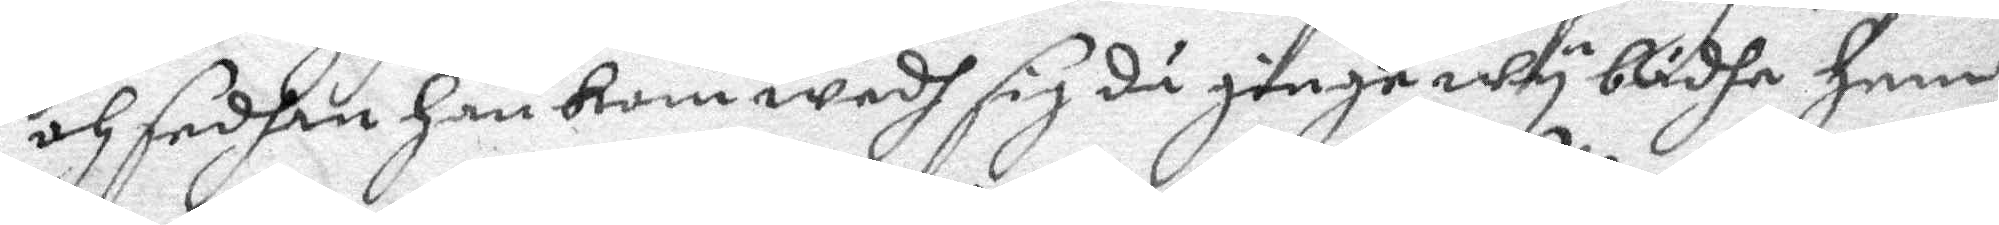och sedhan han kom wedh sig då ginge wy bådha hem
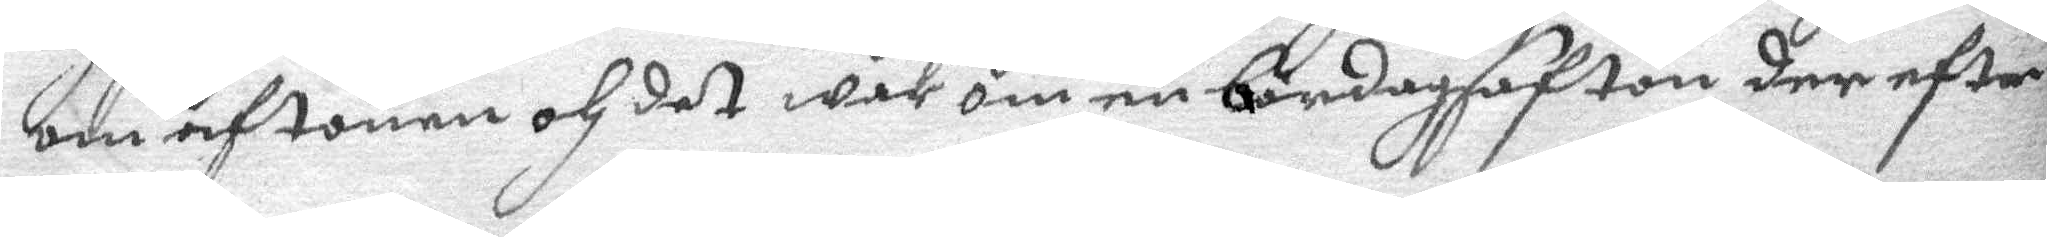om aftonen och det war om en lördagsafton der efter
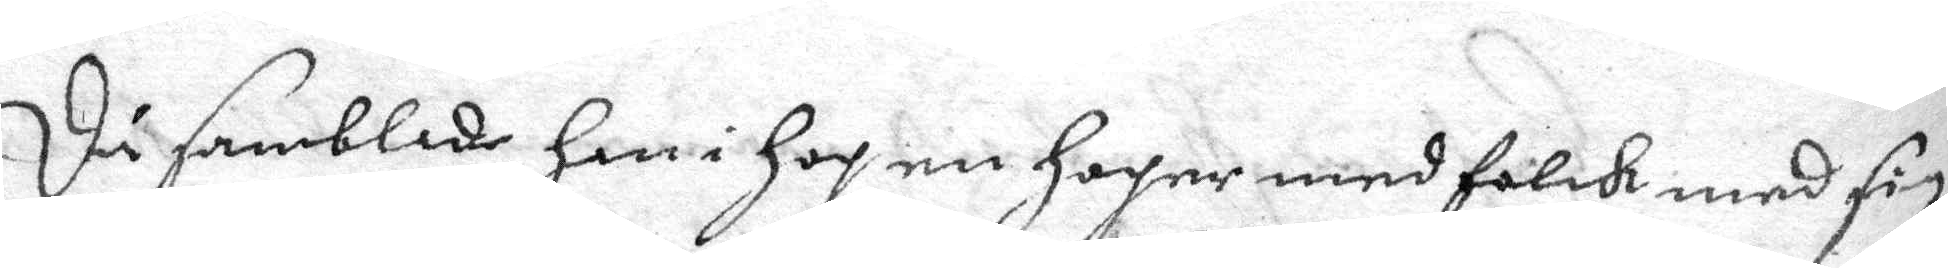Då samblade han i hop en hoper med folck med sig
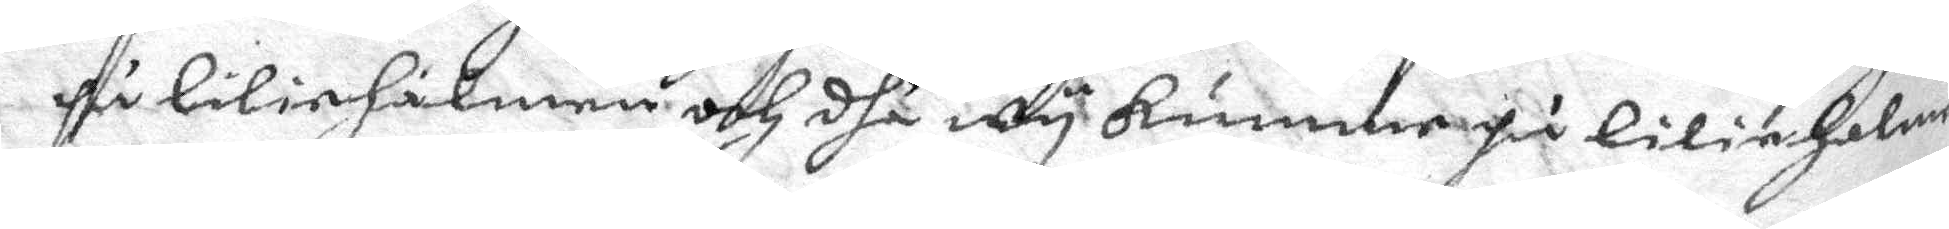på liliehålmen och dhå wy kummar på lilieholmen
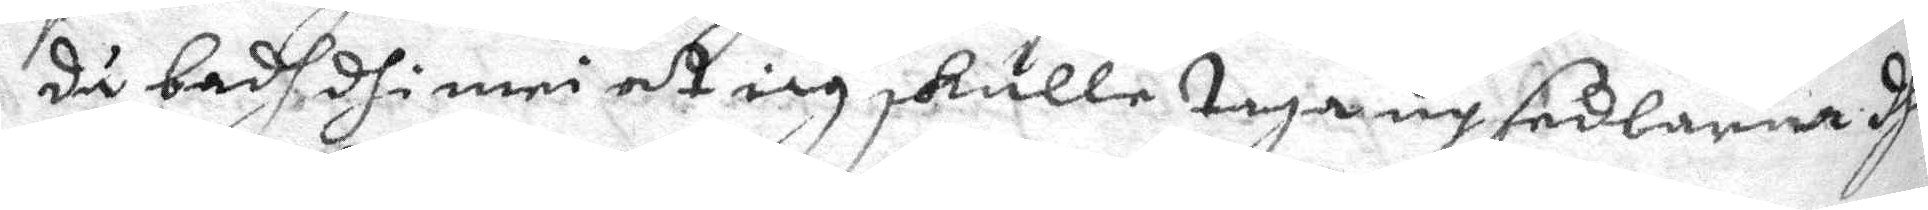då bbadh dhe mei at iag skulle taga up sedlarna dhå
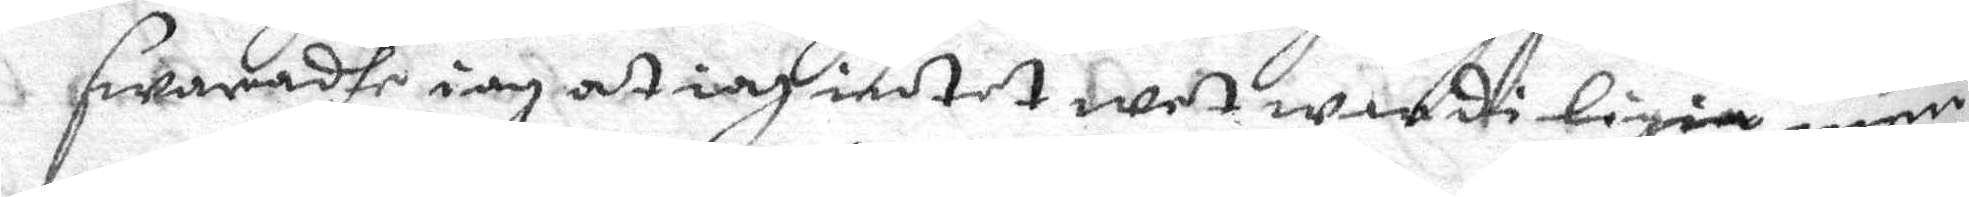swaradhe iag at iag intet wet war di ligia men
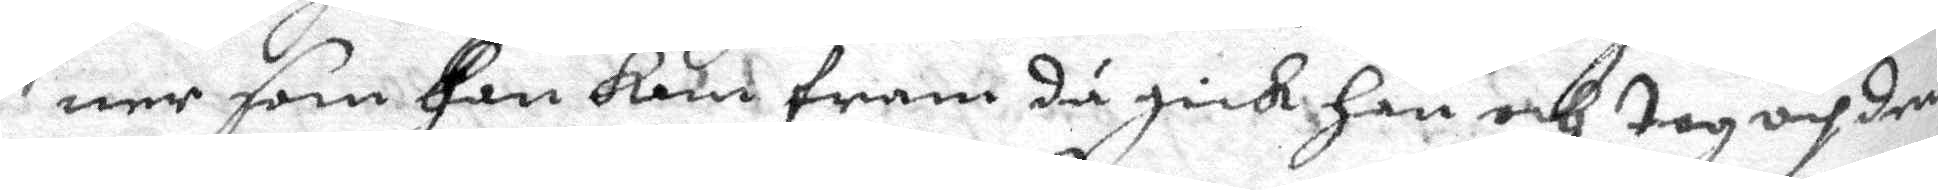ner som han kom fram då gick han och tog op dem
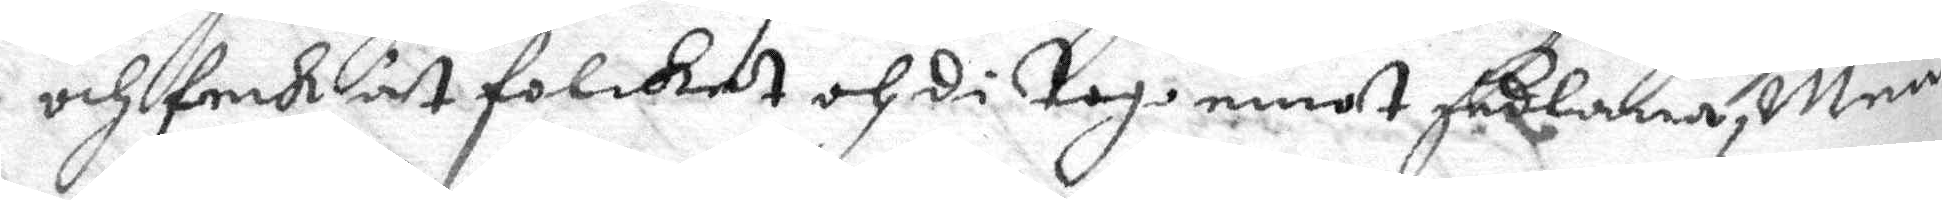och feck åt folket och di tog emot sedlarna, Men
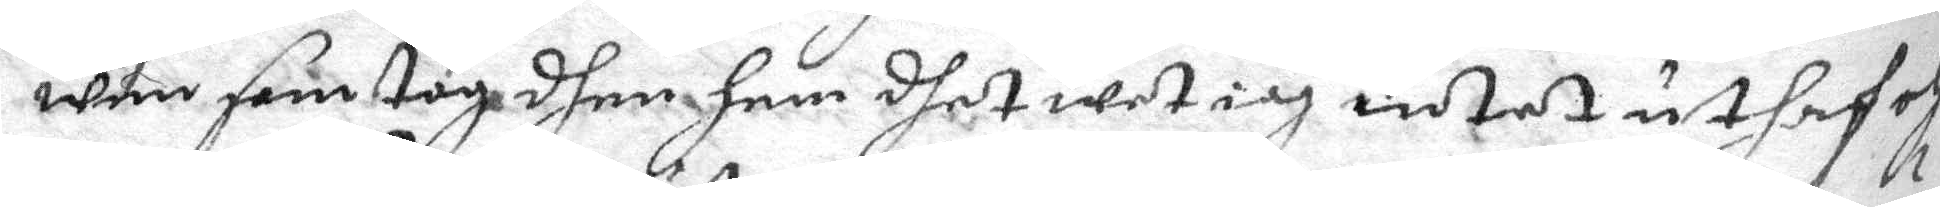wem som tog dhem hem dhet wet iag intet uthaf och
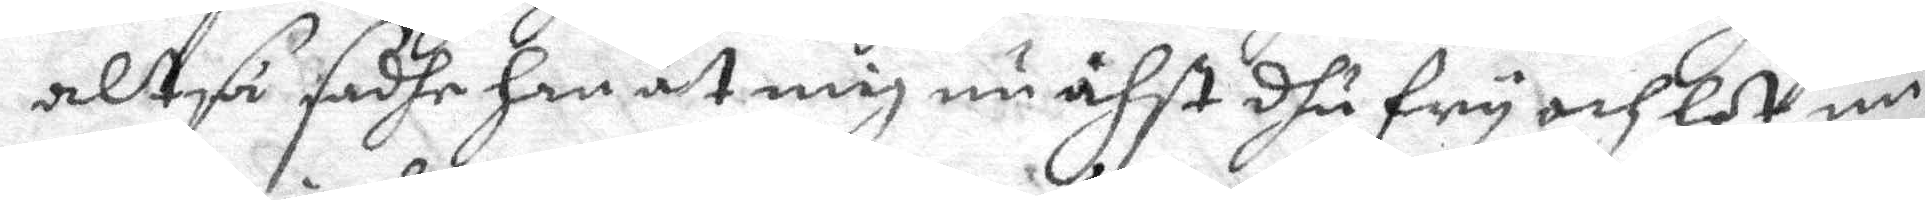altså sadhe han åt mig nu ähst dhu fry och lot nu
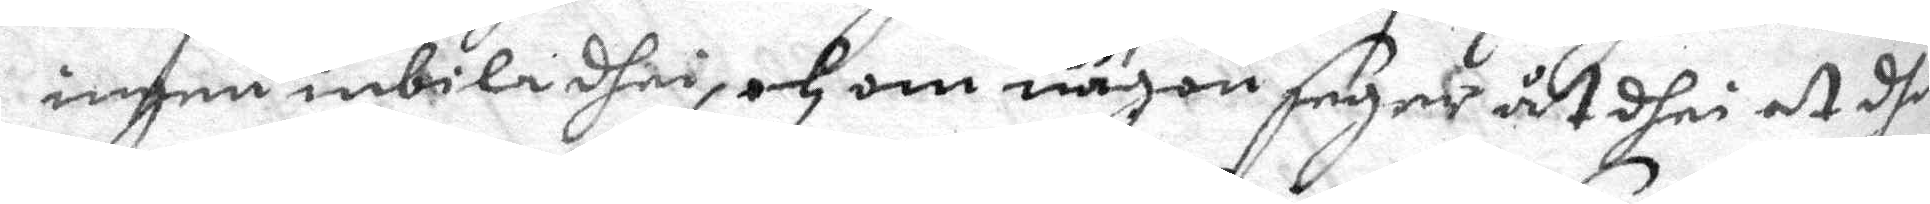ingen inbila dhei, och om någon seger åt dhei at dhu
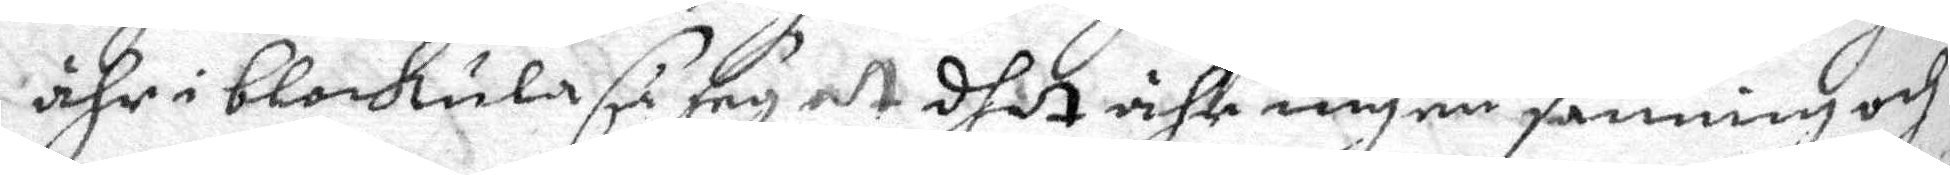ähr i blokula så sey at dhet iche ingen sanning och
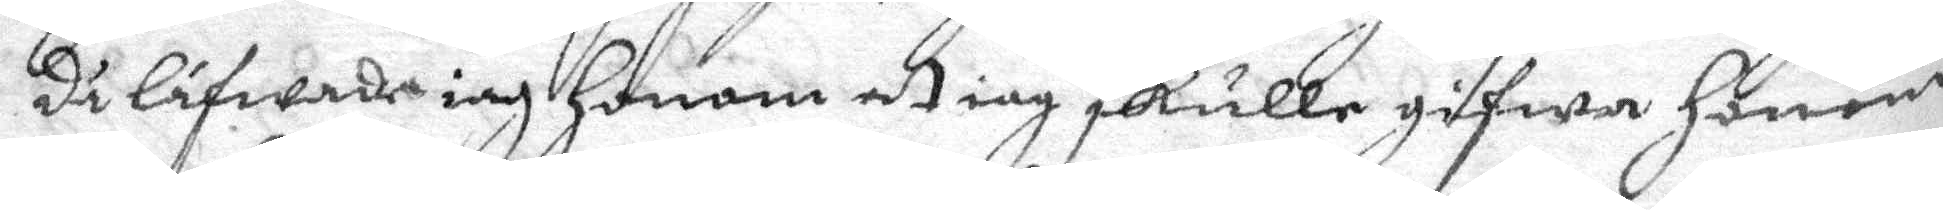då låfwade iag honom at iag skulle gifwa honom
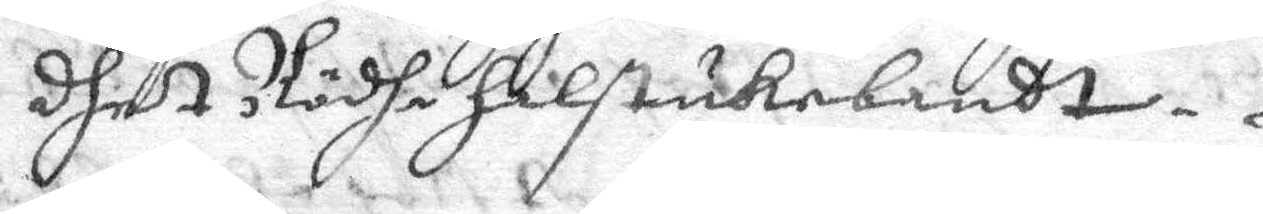dhet Rödha halstukebandt.
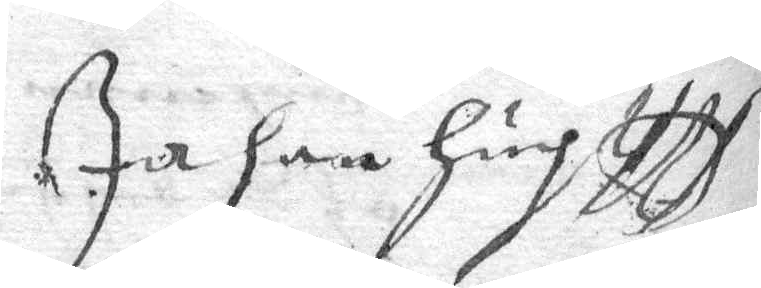Jahen Hugtff
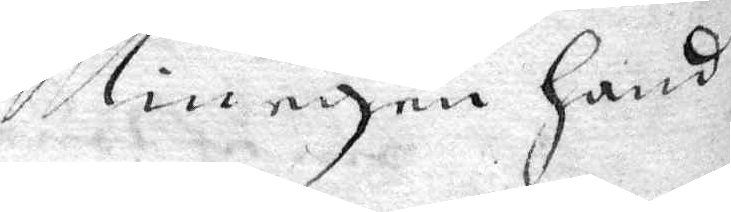Min egen hand
